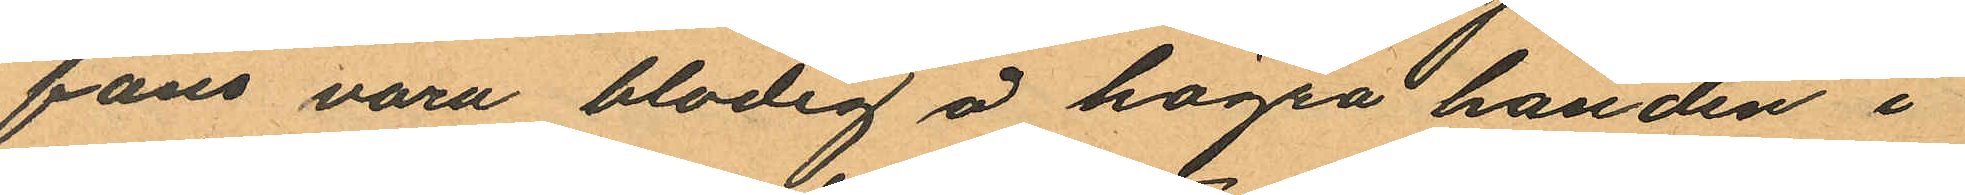fans vara blodig å högra handen i
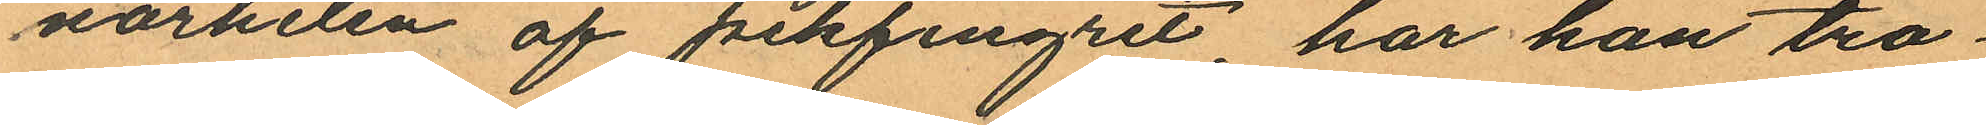närheten af pekfingret, har han tro¬
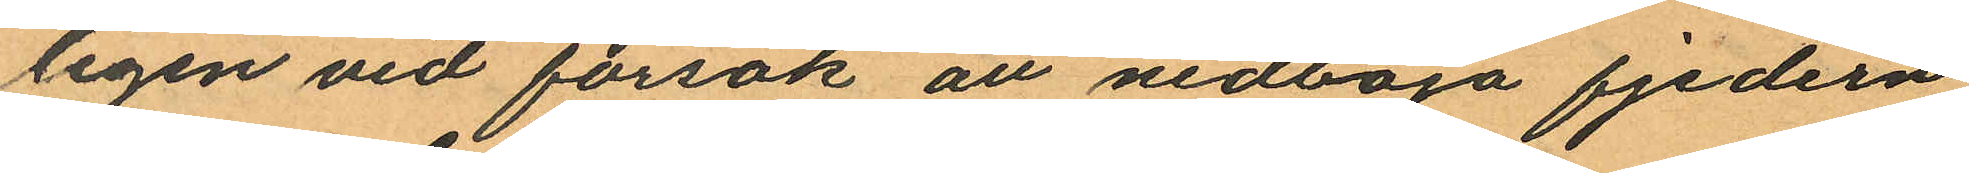ligen vid försök att nedböja fjedern
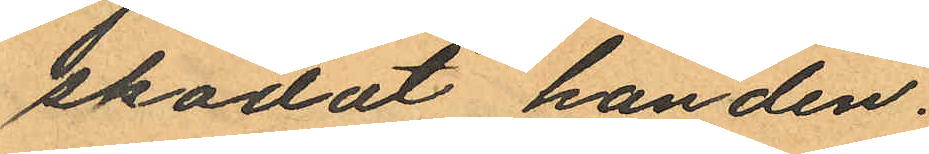skadat handen.
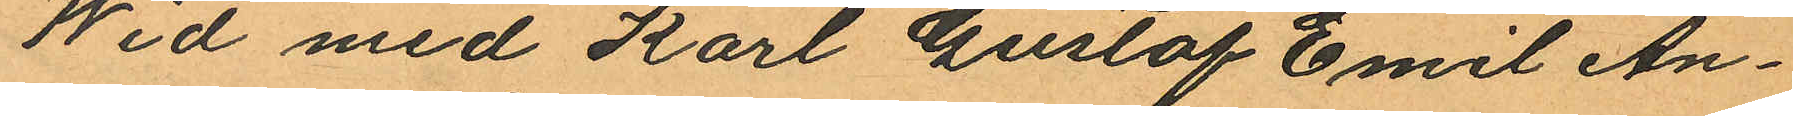Wid med Karl Gustaf Emil An¬
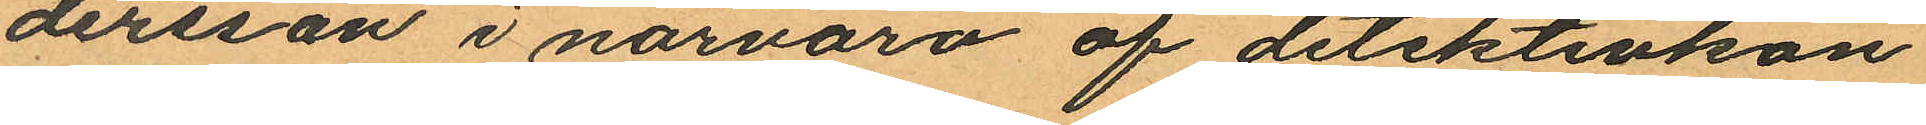dersson i närvaro af detektivko¬
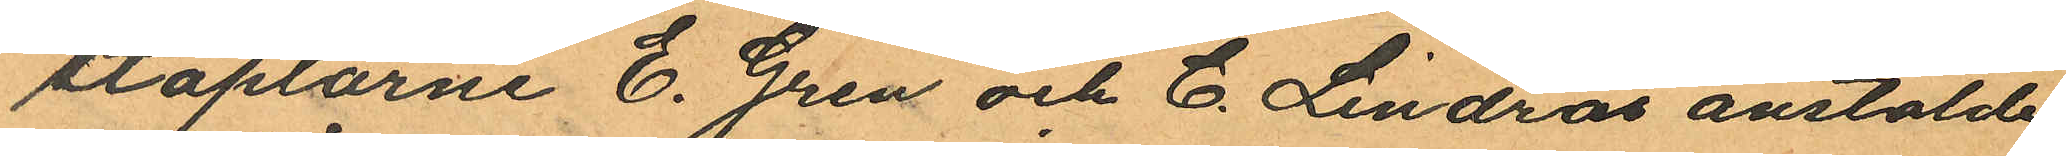staplarne E. Gren och C. Lindros anstälde
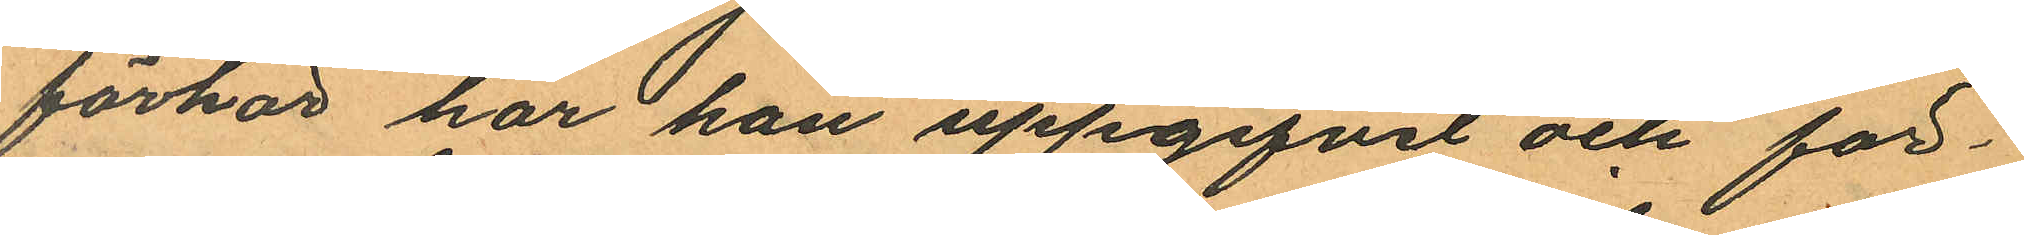förhör har han uppgifvit och för¬
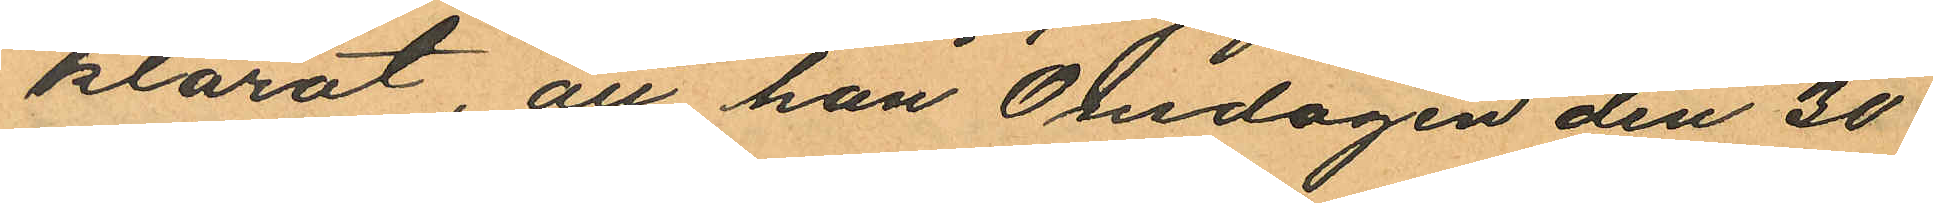klarat, att han Onsdagen den 30
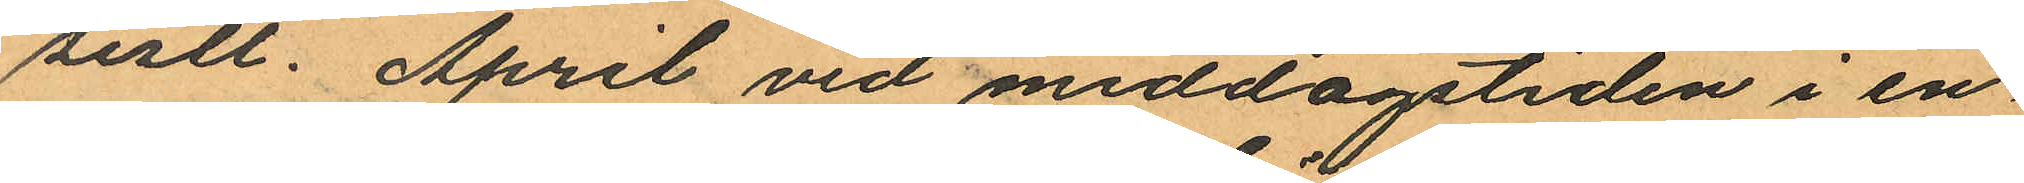sistl. April vid middagstiden i en
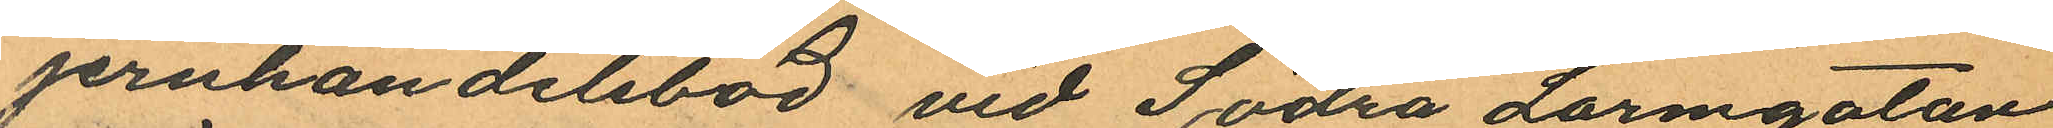jernhandelsbod vid Södra Larmgatan
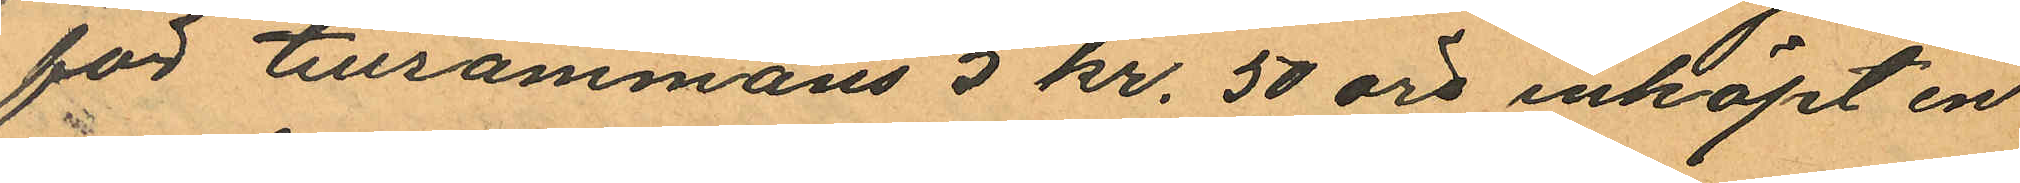för tillsammans 5 kr. 50 öre inköpt en
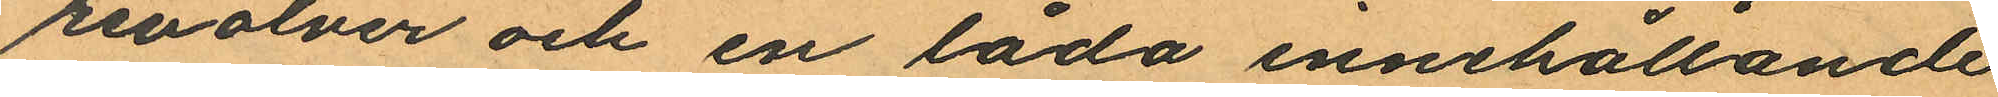revolver och en låda innehållande
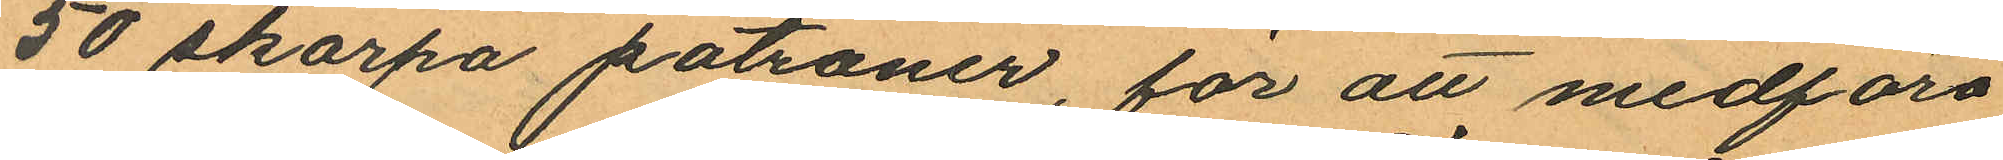50 skarpa patroner, för att medföra
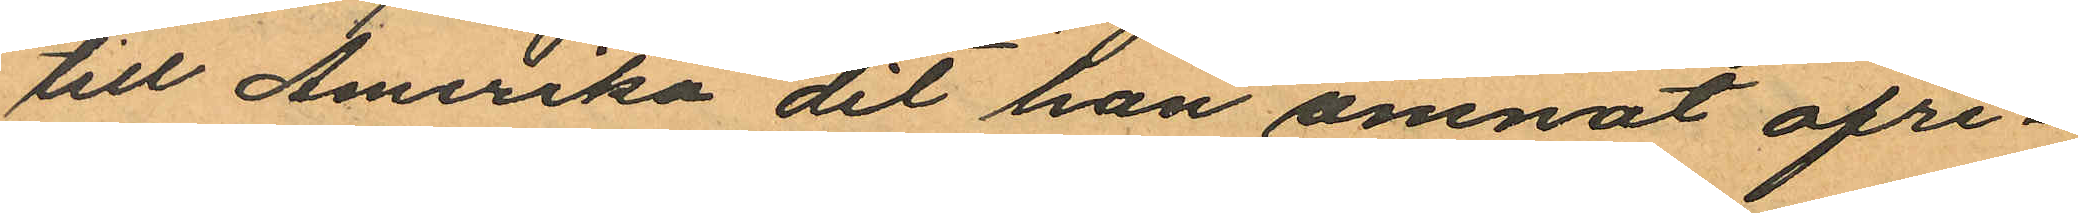till Amerika dit han ämnat afre
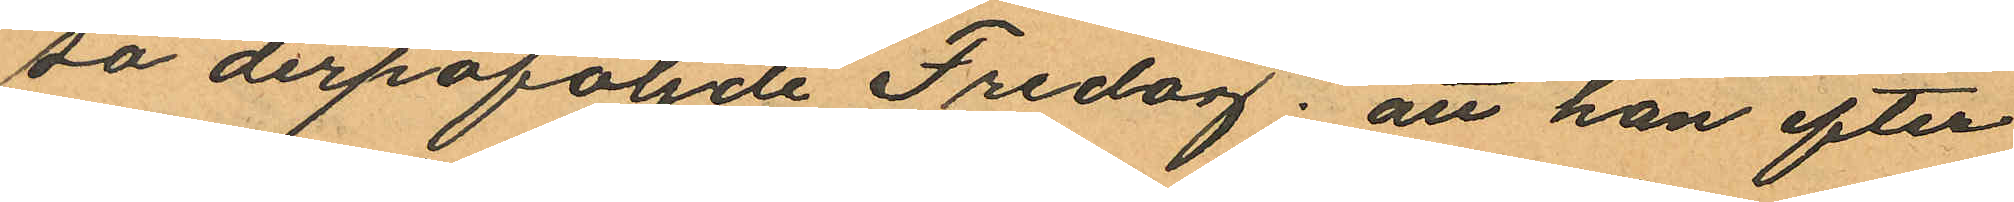sa derpåföljde Fredag; att han efter
